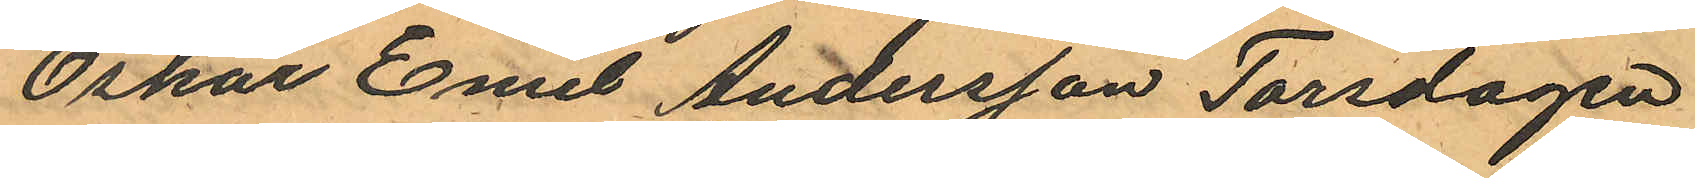Oskar Emil Andersson Torsdagen
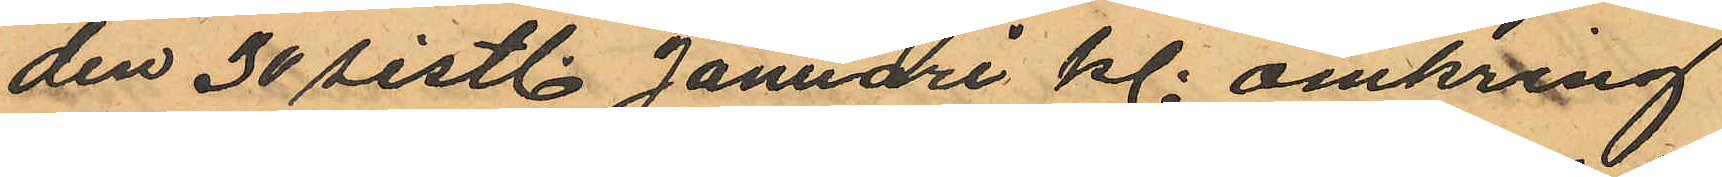den 30 sistl. Januari kl. omkring
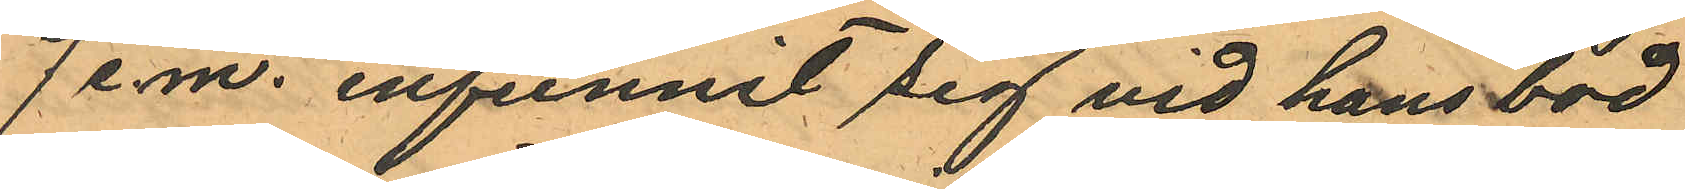7 e.m. infunnit sig vid hans bod
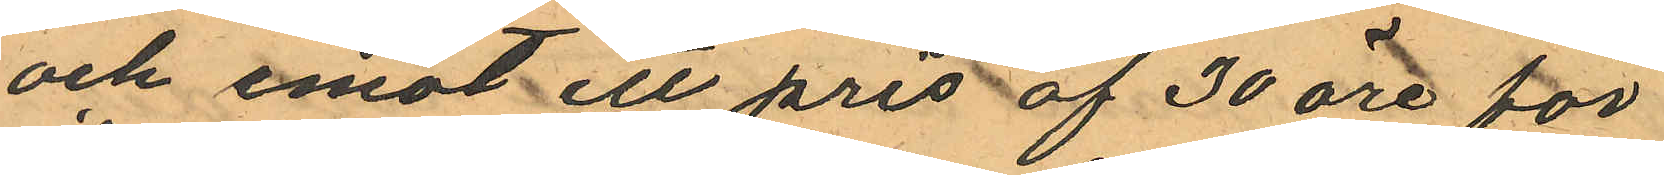och emot ett pris af 30 öre för
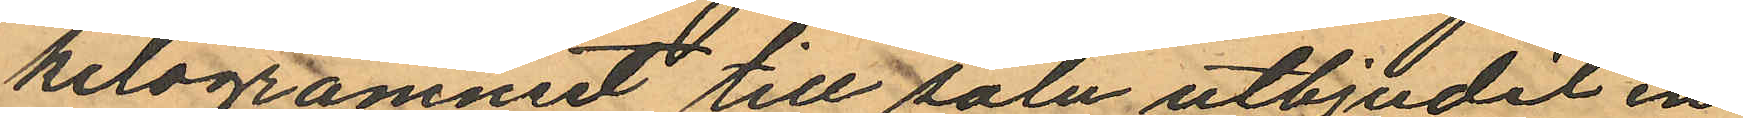kilogrammet till salu utbjudit en
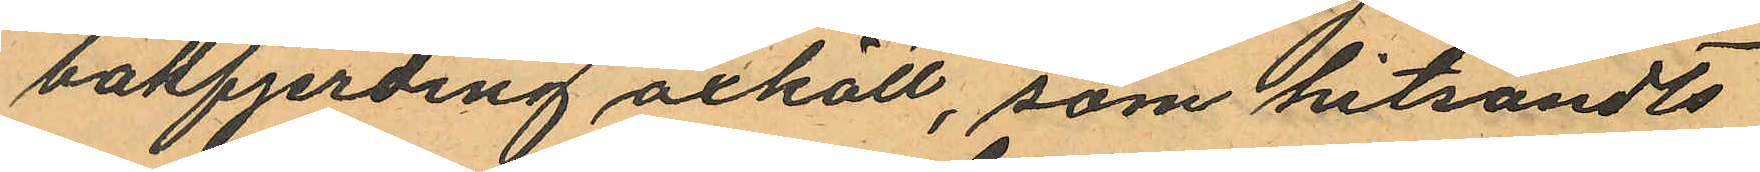bakfjerding oxkött, som hitsändts
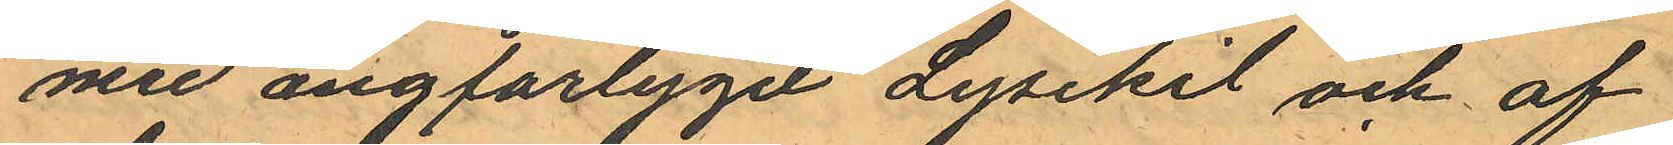med angfarlyget Lysekil och af
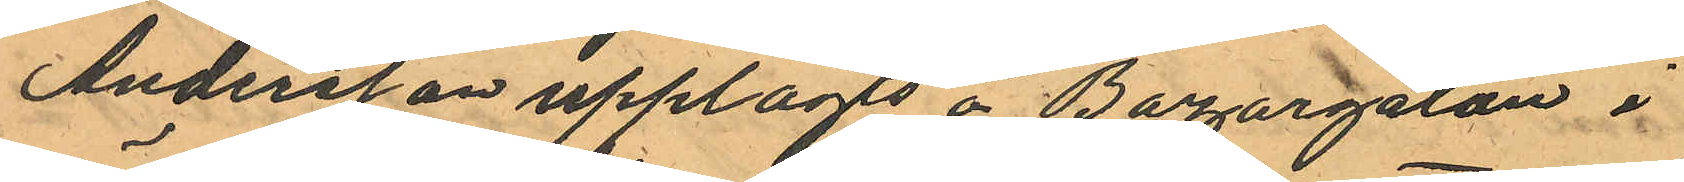Andersson upplagts å Bazargatan i
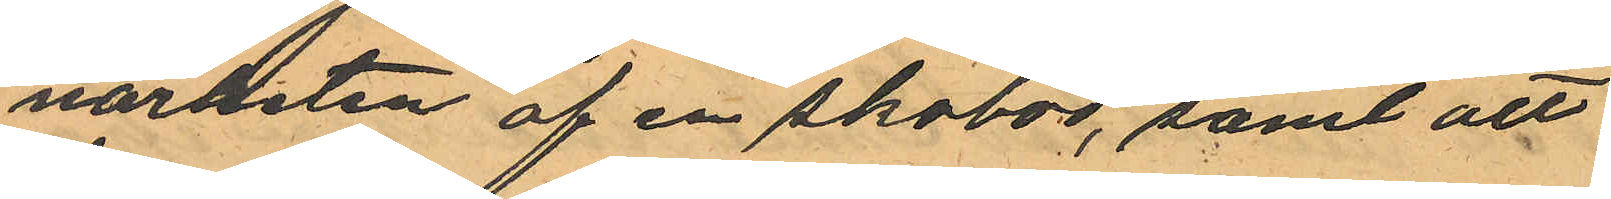närheten af en skobod, samt att
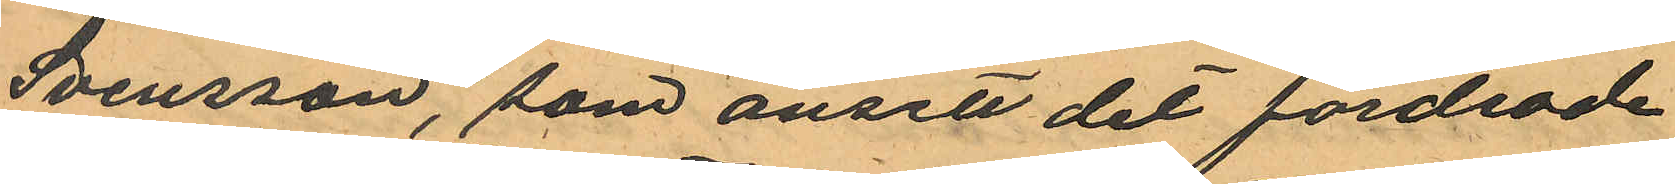Svensson, som ansett det fordrade
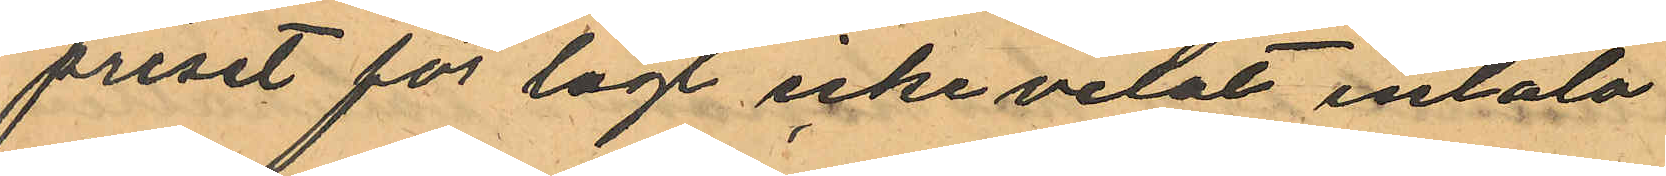priset för lågt icke velat inlåta
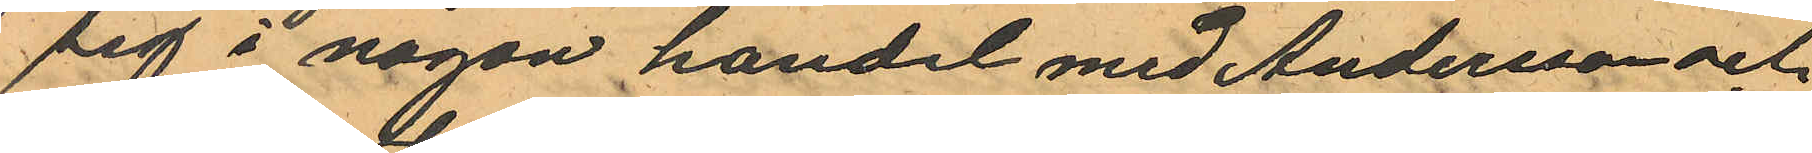sig i någon handel med Andersson och
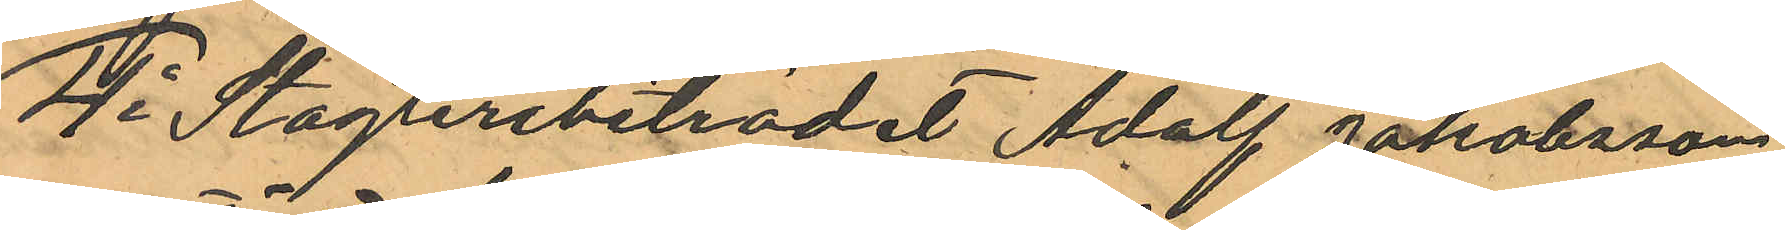4o Stagteribiträdet Adolf Jakobsson
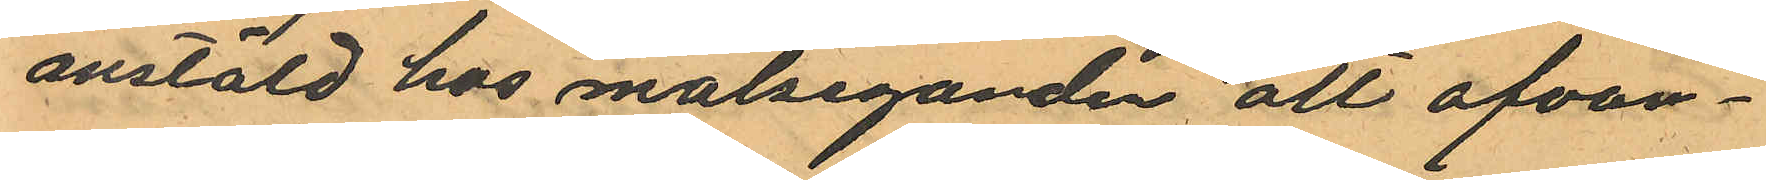anstäld hos målseganden att ofvan¬
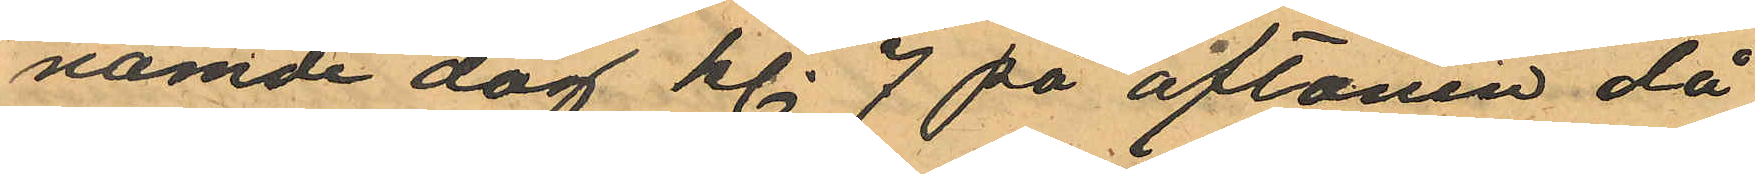namde dag kl. 7 på aftonen då
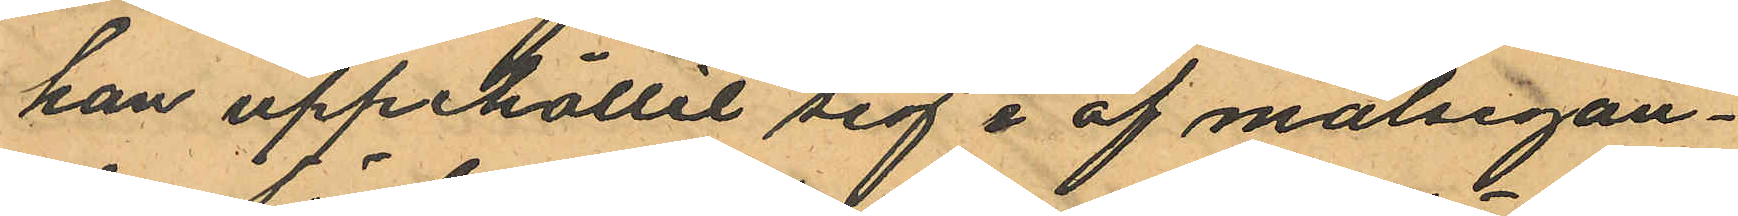han uppehållit sig i af målsegan¬
